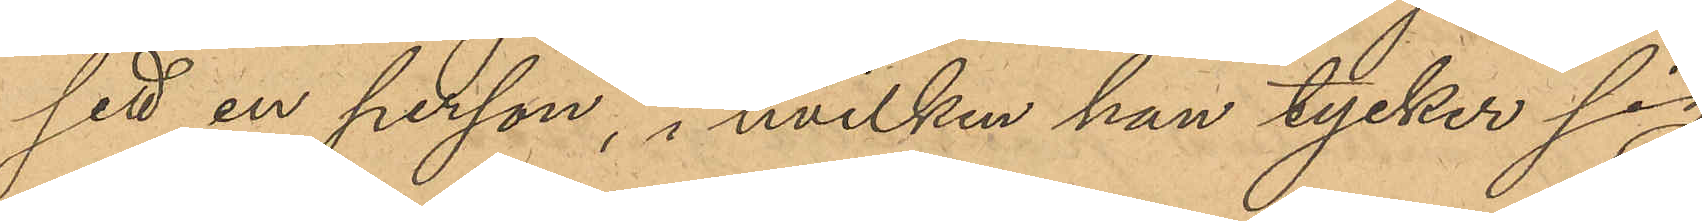sett en person, i hvilken hon tycker sig
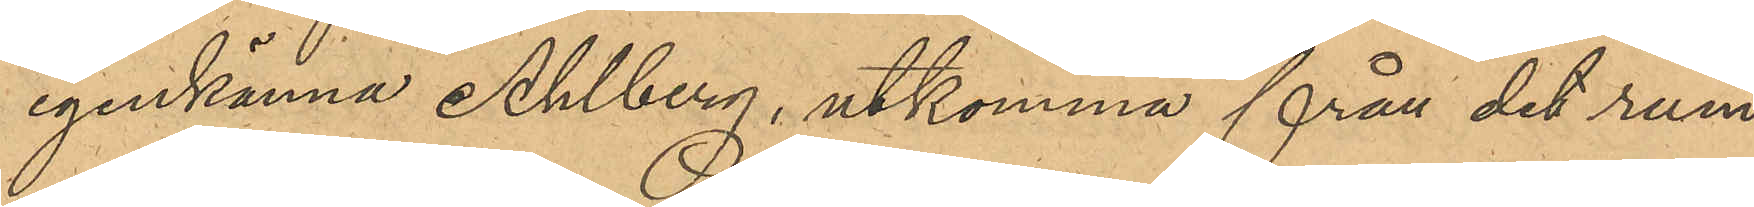igenkänna Ahlberg, utkomma från det rum
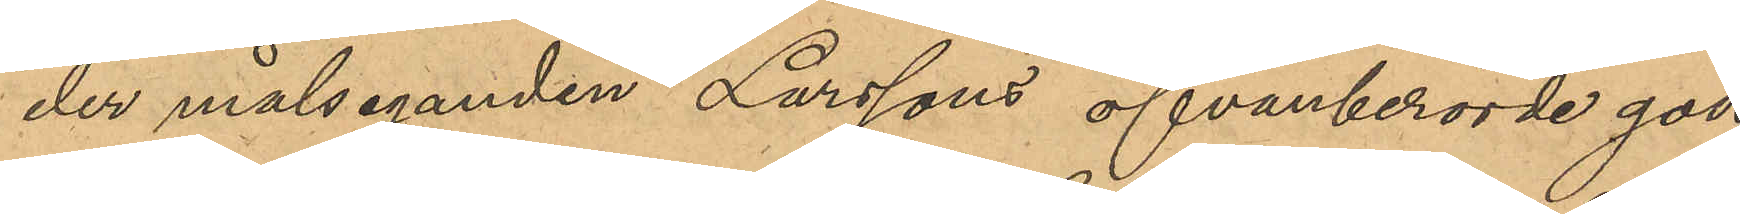der målsegnden Larssons ofvanberörde gods
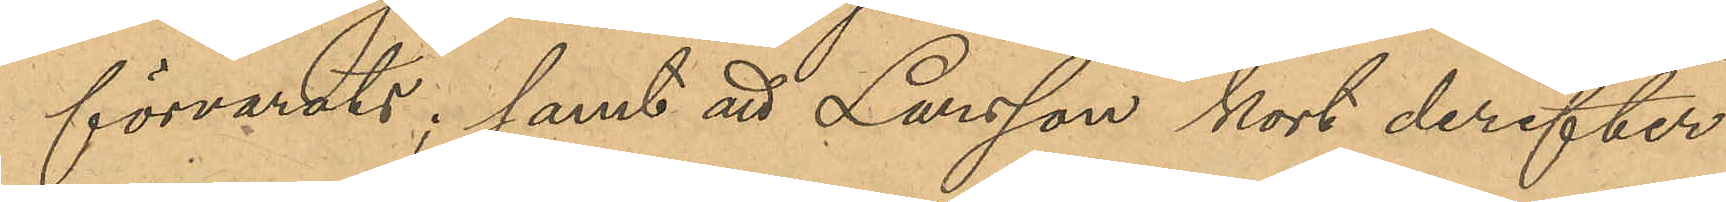förvarats; samt att Larsson kort derefter
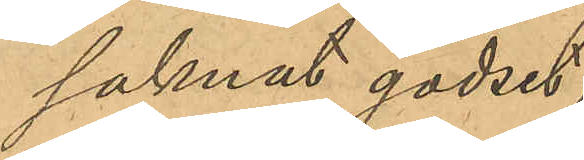saknat godset;
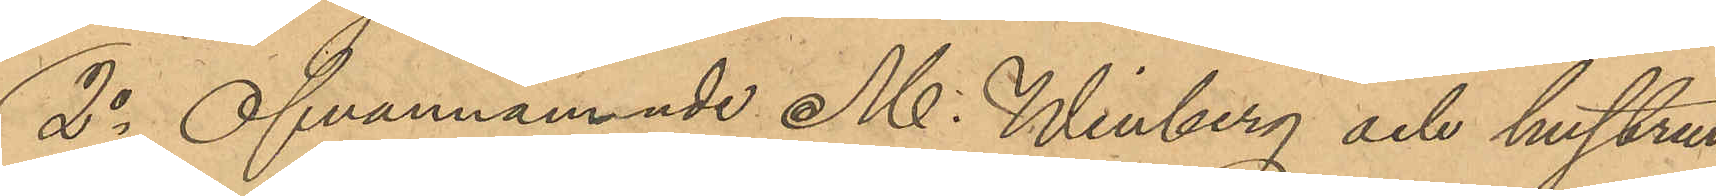2o Ofvannämnde M. Winberg och hustrun
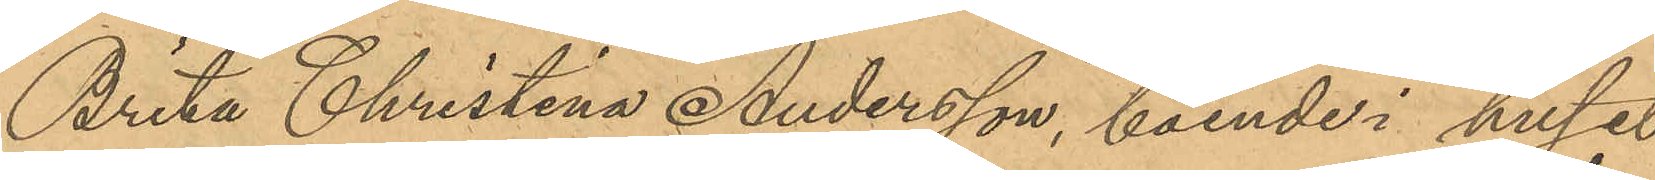Brita Christina Andersson, boende i huset
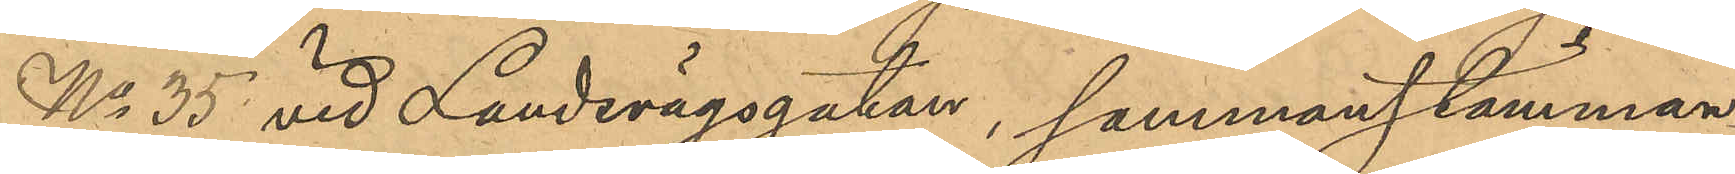No 35 vid Landsvägsgatan, sammanstämman¬
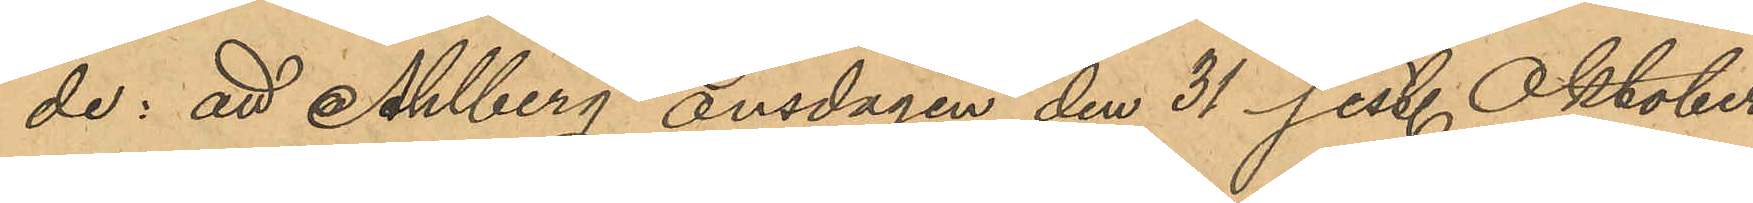de: att Ahlberg onsdagen den 31 sist. Oktober
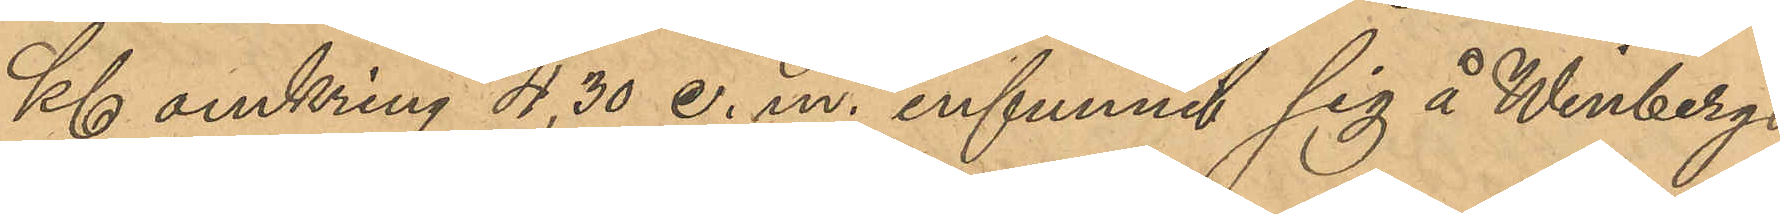Kl omkring 4,30 e. m. infunnit sig å Winbergs
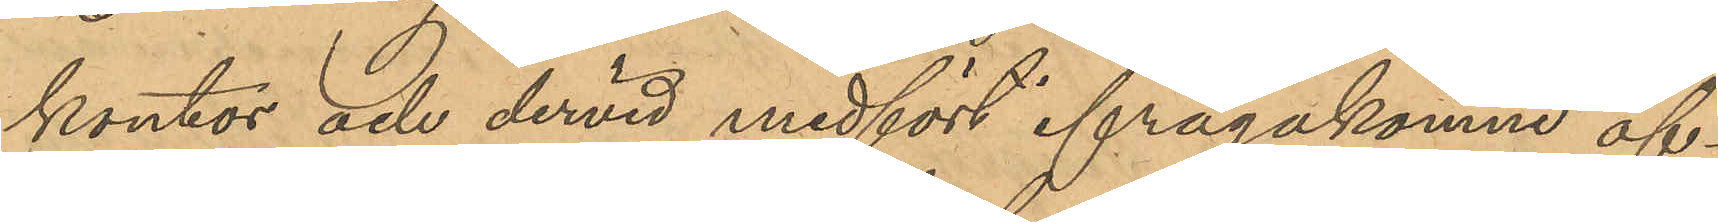kontor och dervid medfört ifrågakomne öf¬
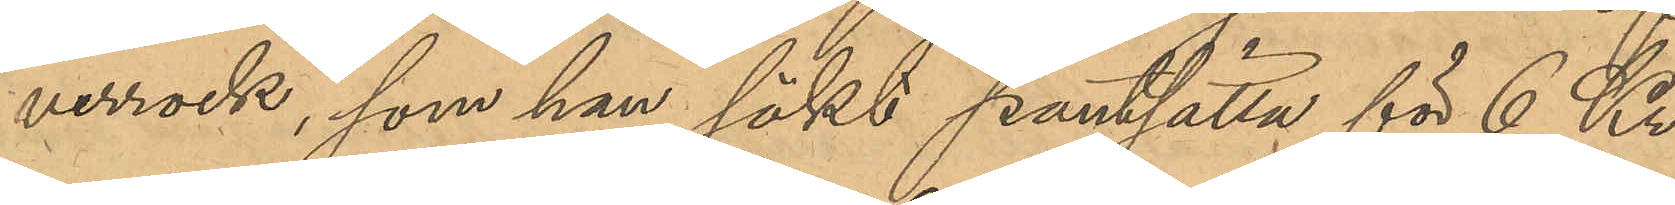verrock som han sökt pantsätta för 6 Kr.
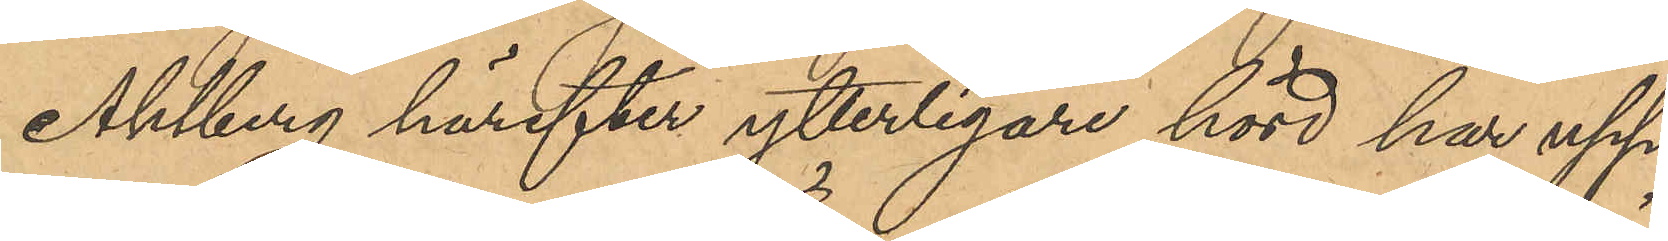Ahlberg härefter ytterligare hörd har upp¬
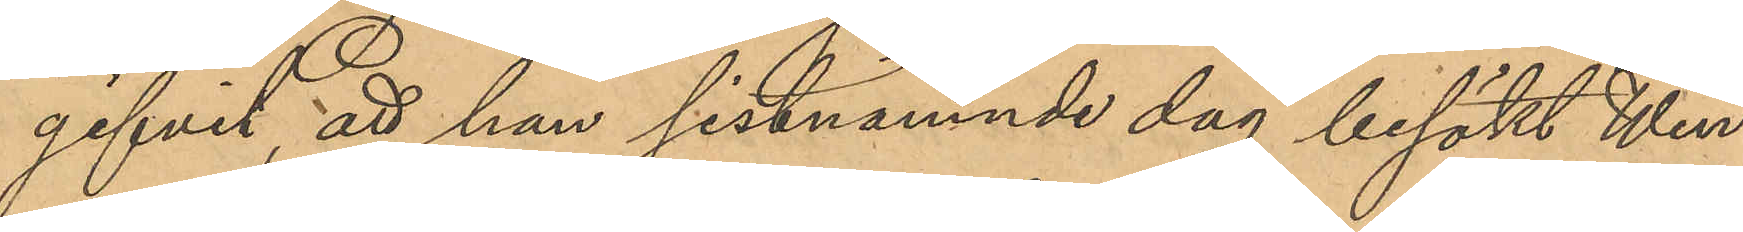gifvit, att han sistnämnde dag besökt Win¬
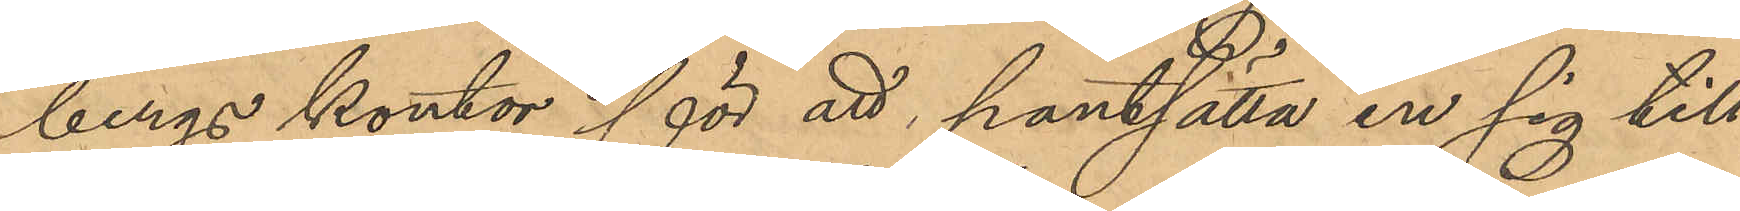bergs kontor för att pantsätta en sig till¬
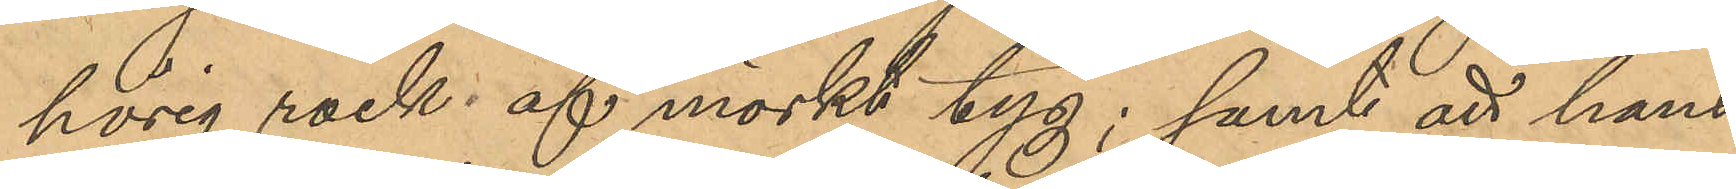hörig rock af brunt tyg; samt att hans
